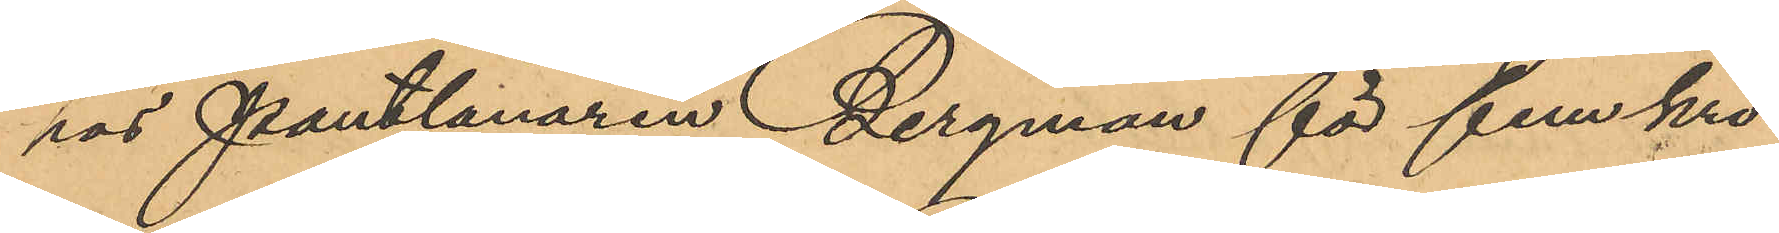hos Pantlånaren Bergman för fem kro¬
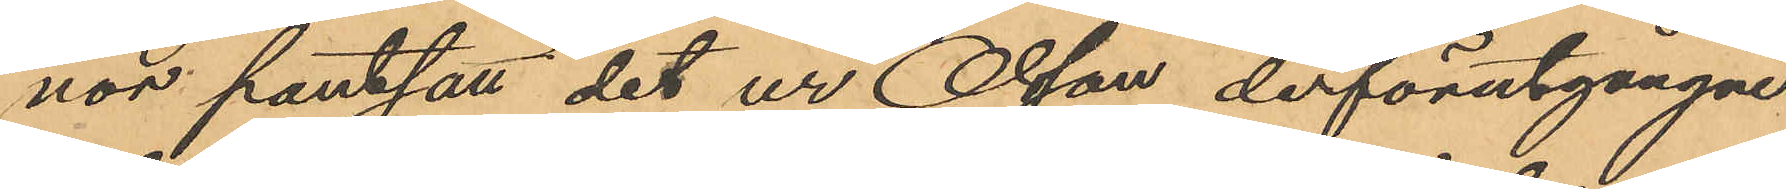nor pantsatt det ur Olsson derförutgångne
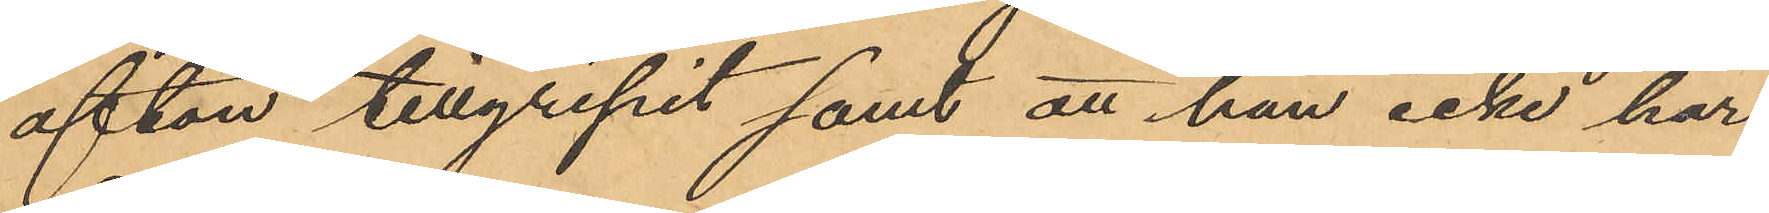afton tillgripit samt att han icke har
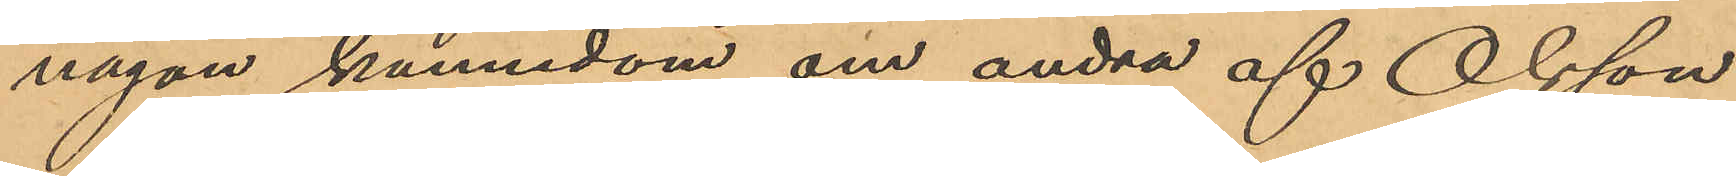någon kännedom om andra af Olsson
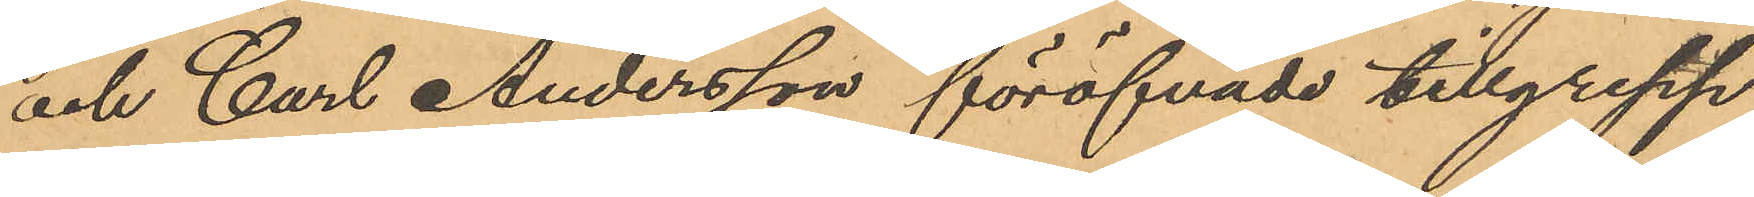och Carl Andersson föröfvade tillgrepp.
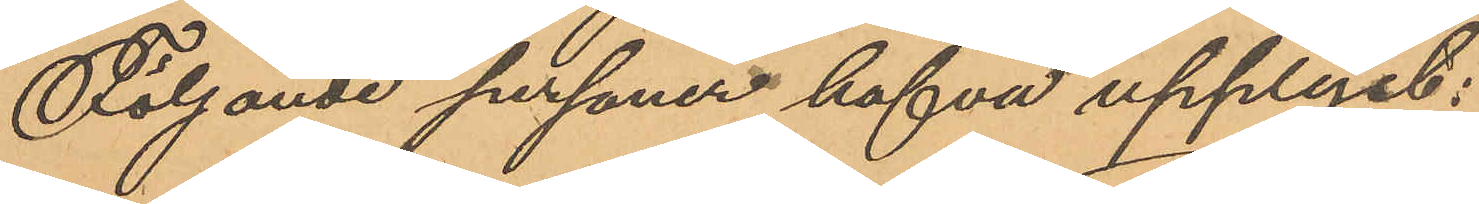Följande personer hafva upplyst:
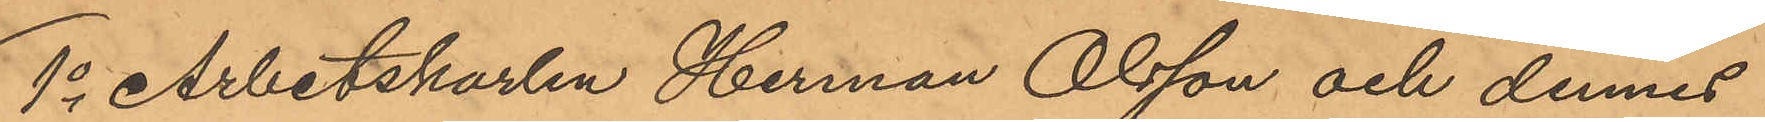1o Arbetskarlen Herman Olsson och dennes
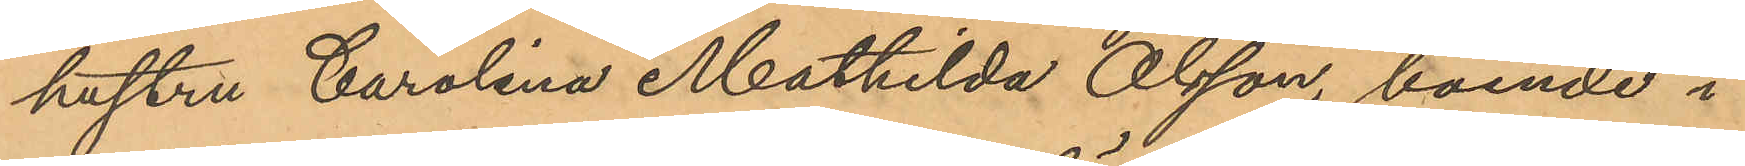hustru Carolina Mathilda Olsson, boende i
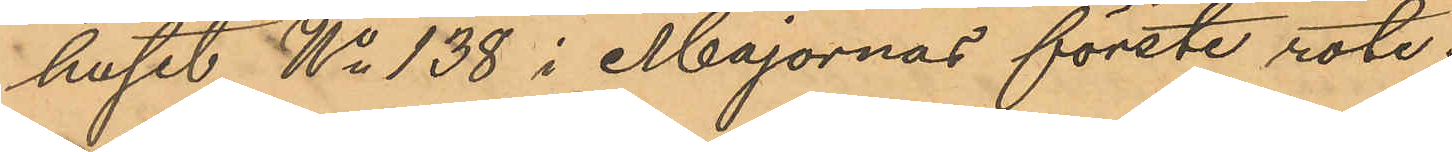huset No 138 i Majornas förste rote;
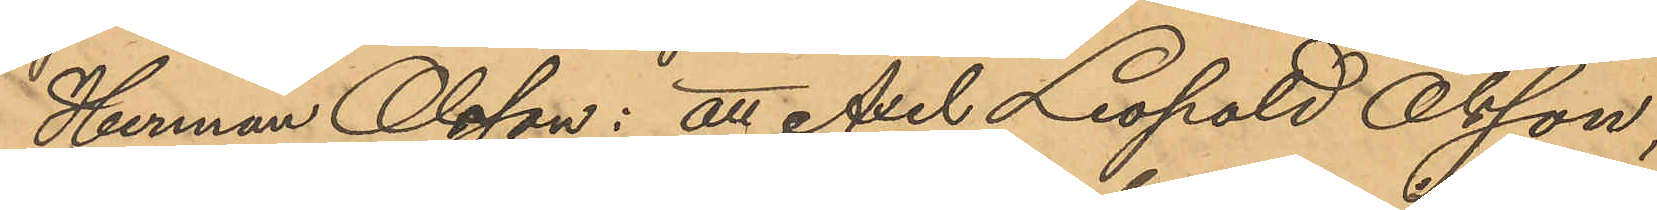Herman Olsson: att Axel Leopold Olsson,
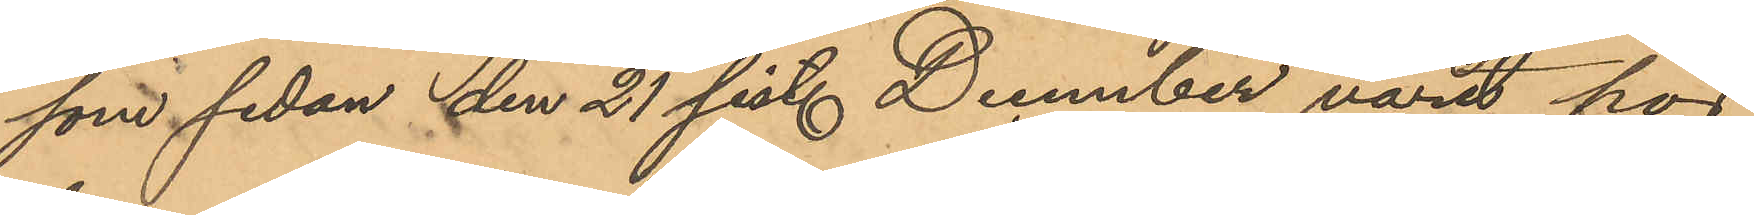som sedan den 21 sist. December varit hos
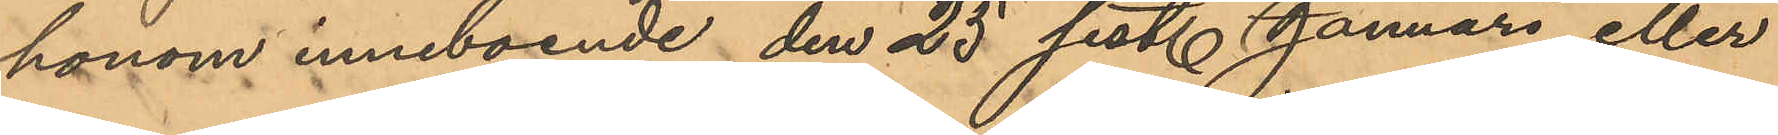honom inneboende den 25 sist. Januari eller
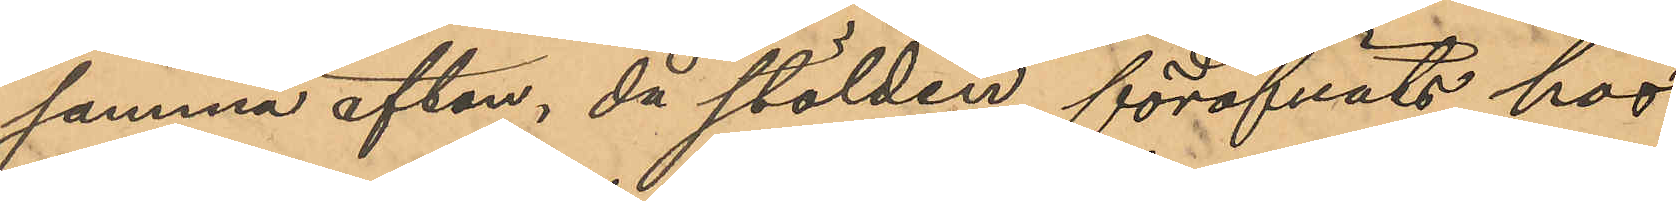samma afton, då stölden föröfvats hos
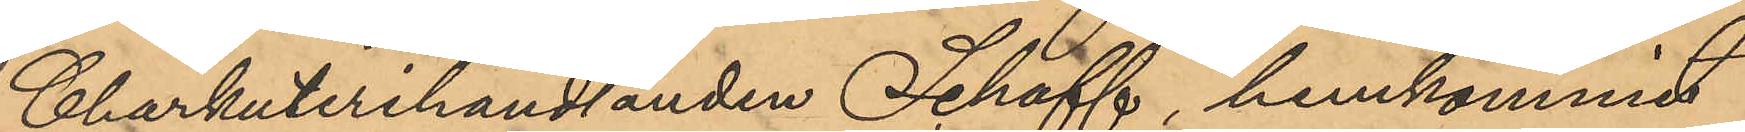Charkuterihandlanden Schaff, hemkommit
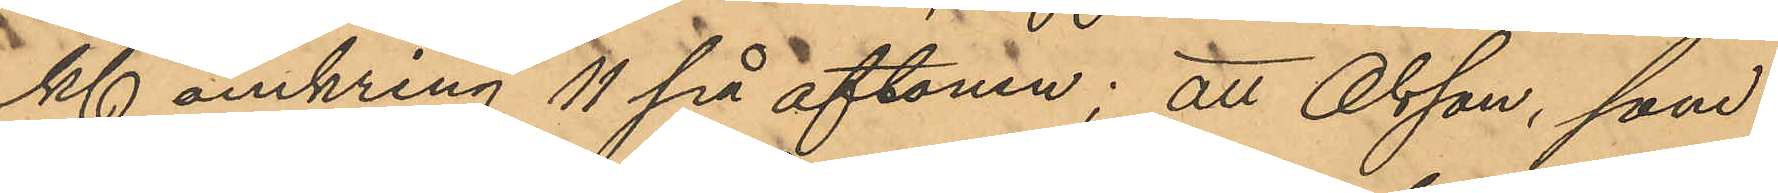Kl omkring 11 på aftonen; att Olsson, som
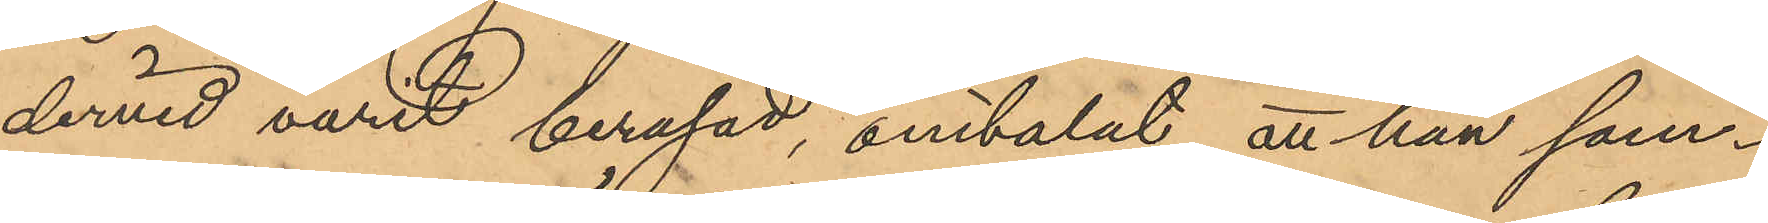dervid varit berusad, omtalat att han sam¬
